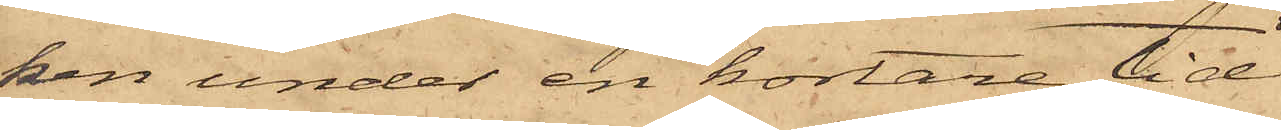ken under en kortare tid
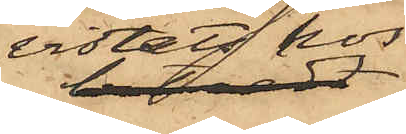vistats hos
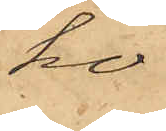ho¬
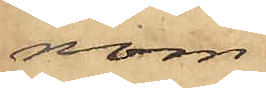nom,
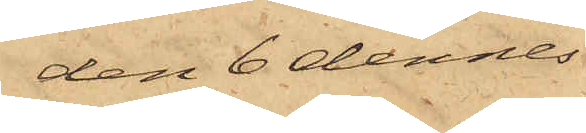den 6 dennes
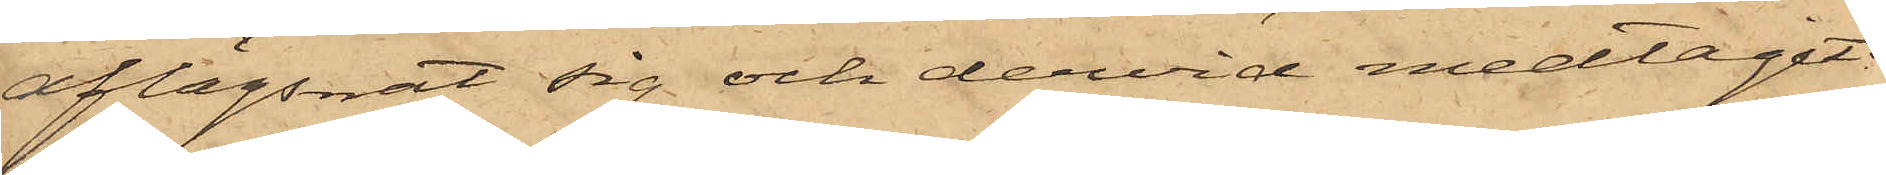aflägsnat sig och dervid medtagit:
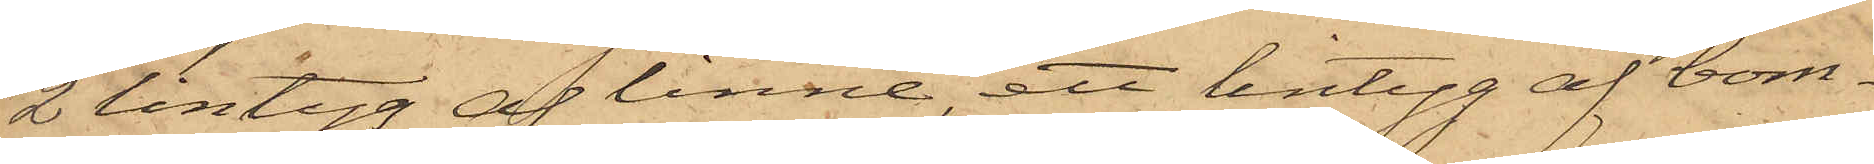2 lintyg af linne, ett lintyg af bom¬
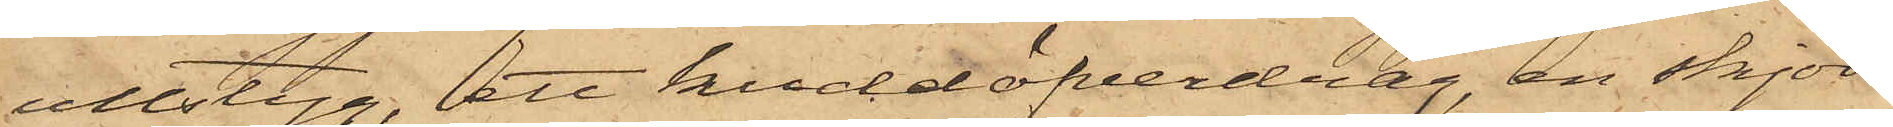ullstyg, att kuddöfverdrag, en skjor¬
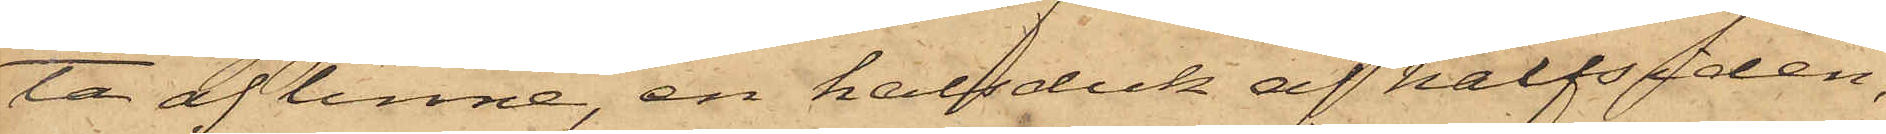ta af linne, en halsduk af halfsiden,
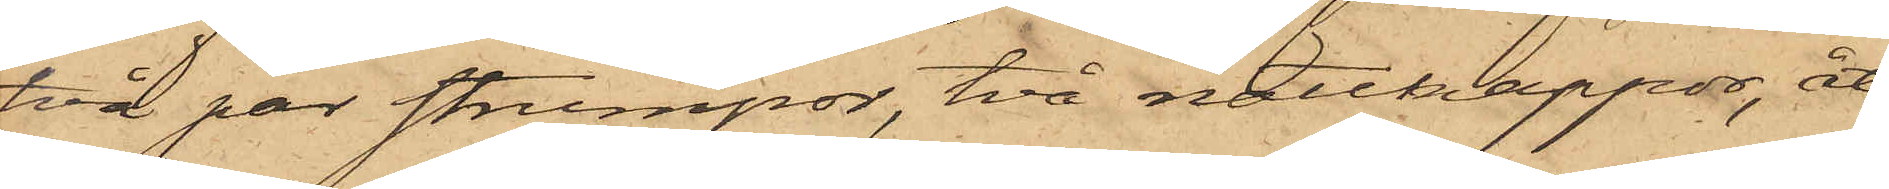två par strumpor, två nattkappor, åt¬
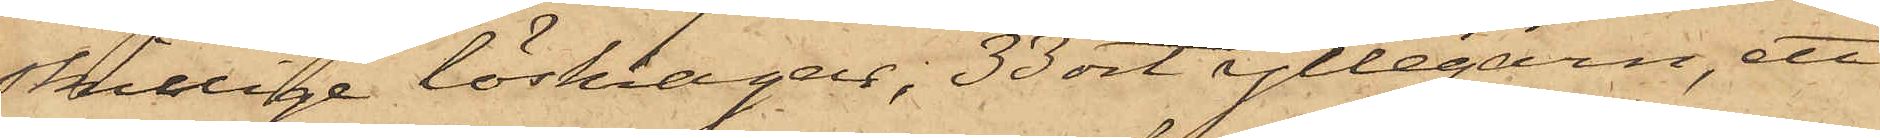skillige löskragar, 33 ort yllegarn, ett
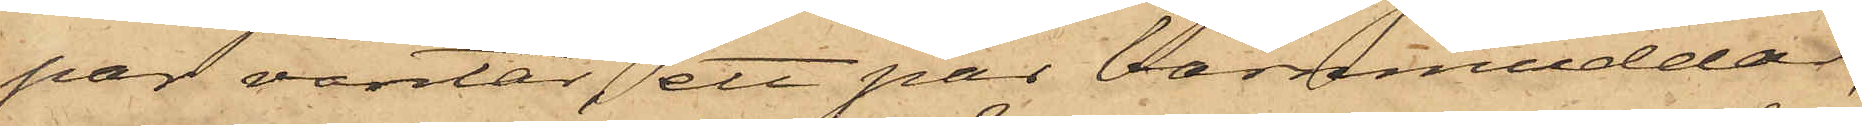par vantar, ett par barnmuddar,
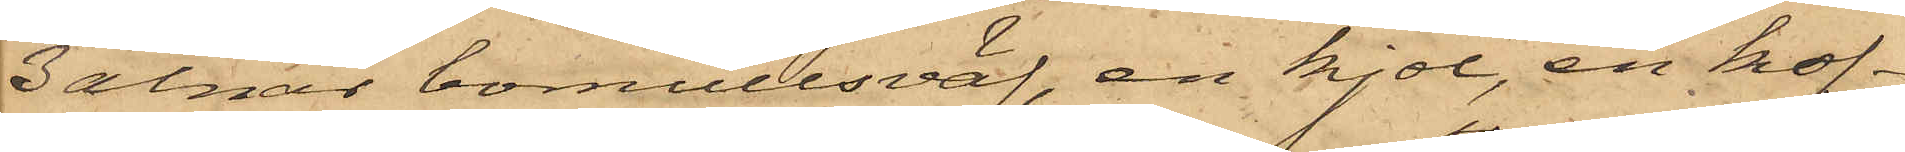3 alnar bomullsväf, en kjol, en kof¬
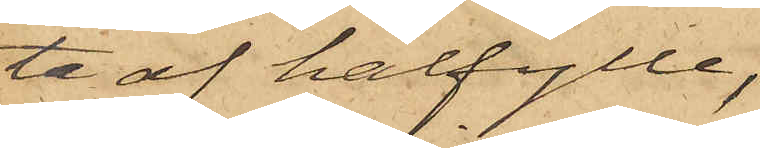ta af halfylle,
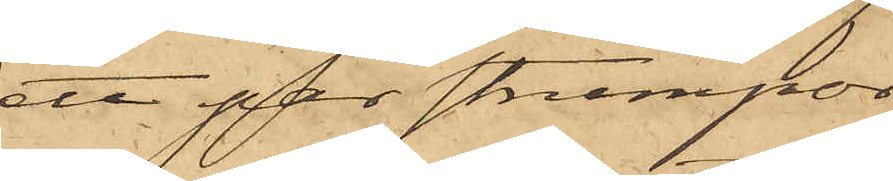ett par strumpor
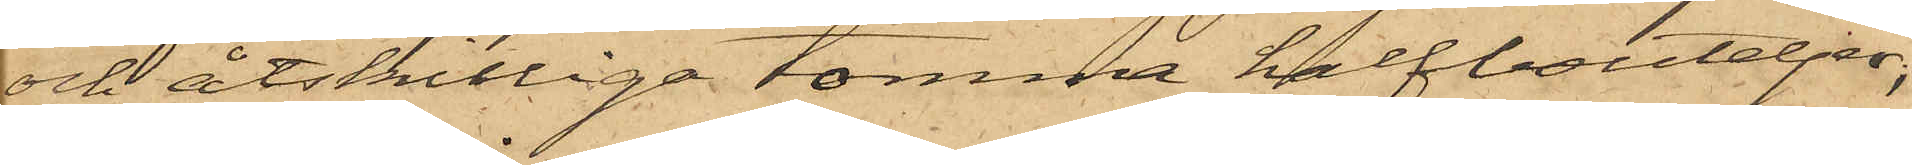och åtskilliga tomma halfbuteljer;
